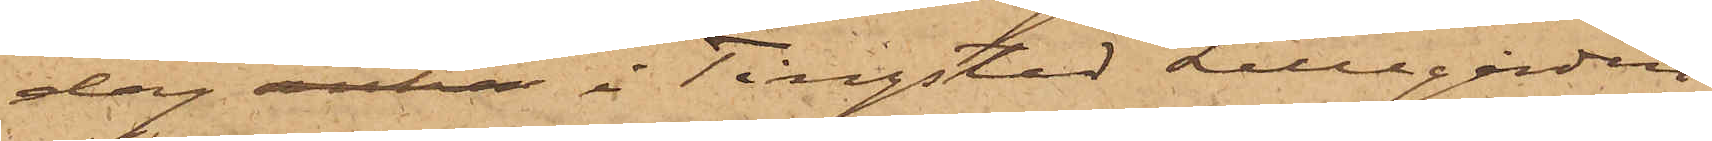dag anha i Tingstad Lillegården
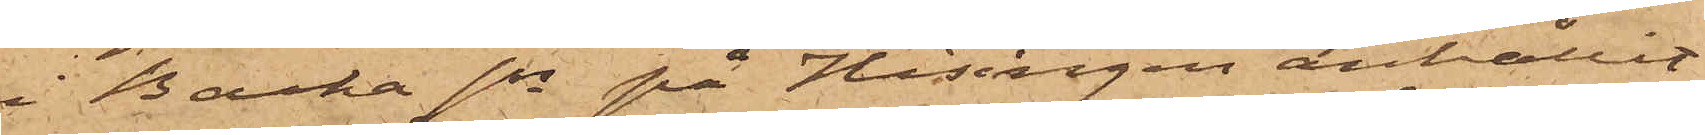i Backa sn på Hisingen anhållit
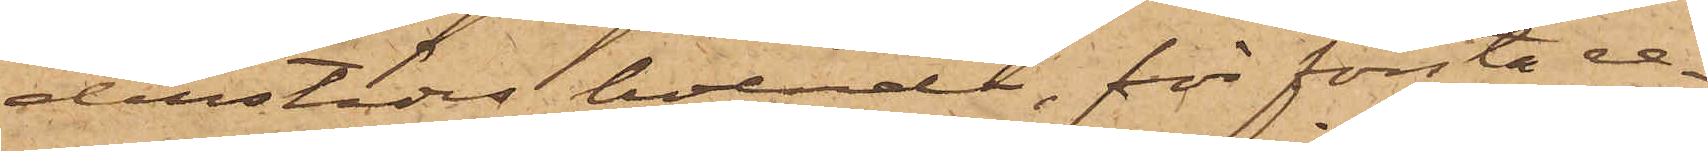derstädes boende, för första re¬
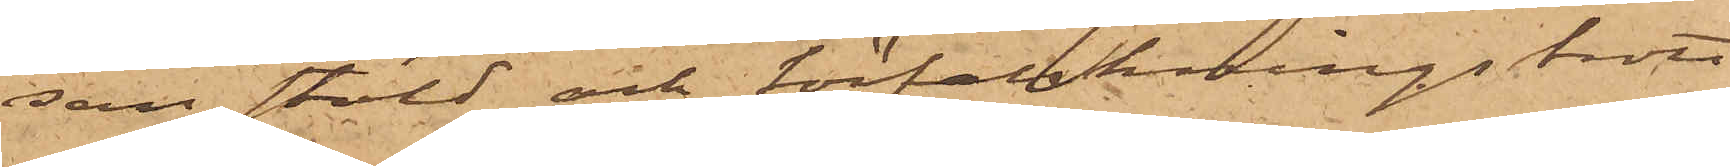san stöld och förfalskningsbrott
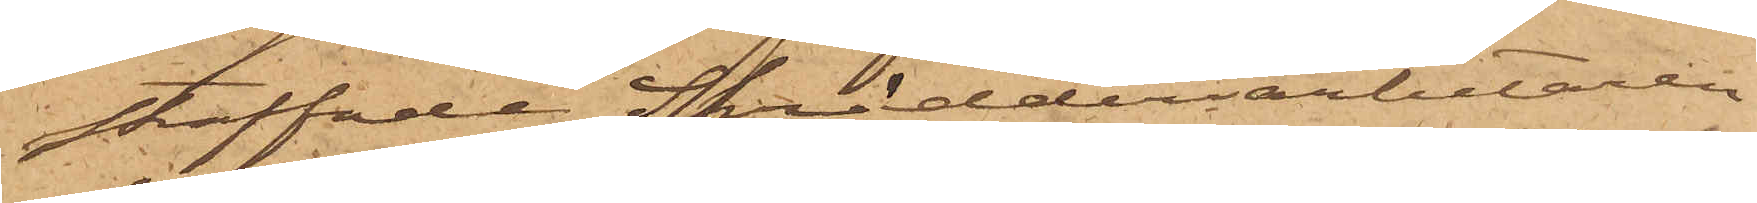straffade Skrädderiarbetaren
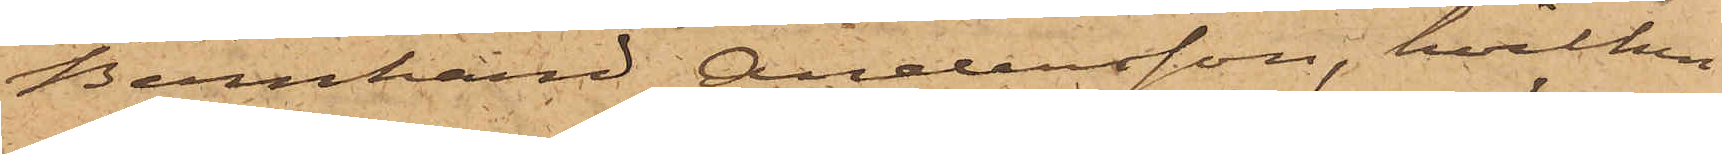Bernhard Andersson, hvilken
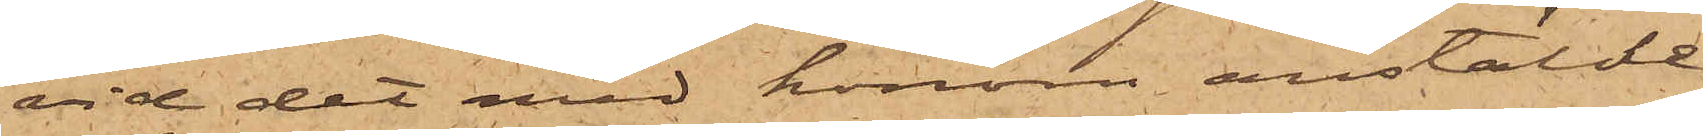vid det med honom anstäldt
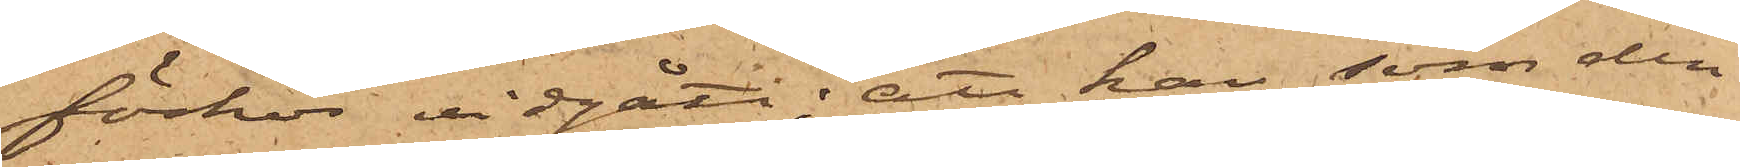förhör vidgått; att han, som den
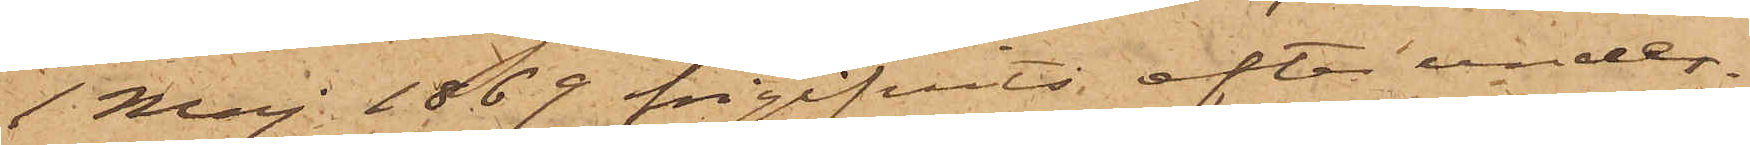1 Maj 1869 frigifvits efter under¬
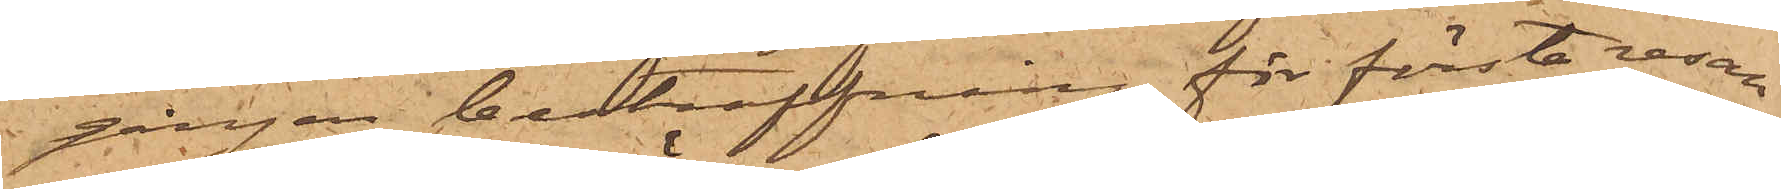gången bestraffning för första resan
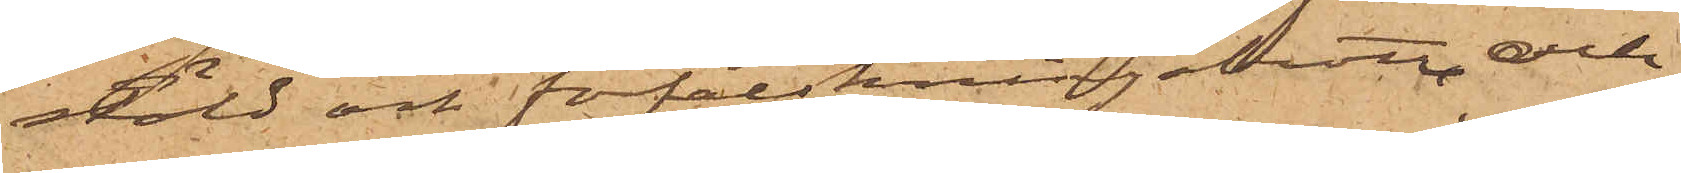stöld och förfalskningsbrott, och
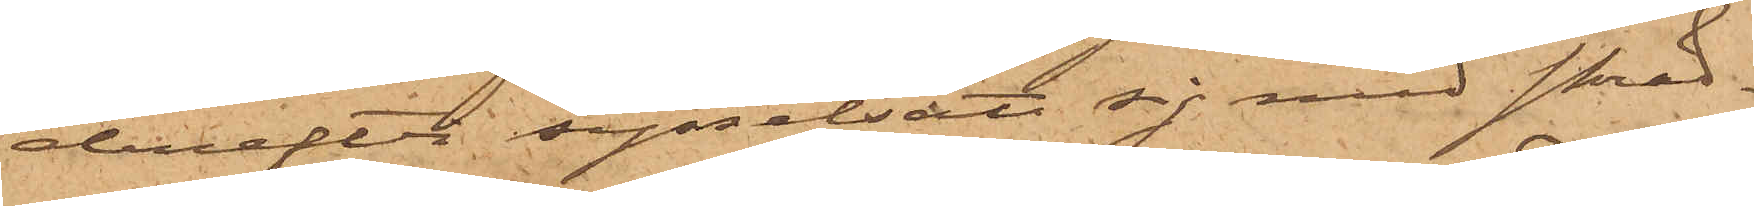derefter sysselsatt sig med skräd¬
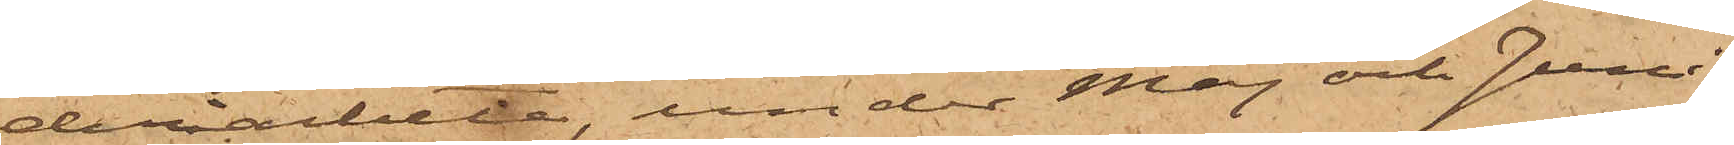deriarbete, under Maj och Juni
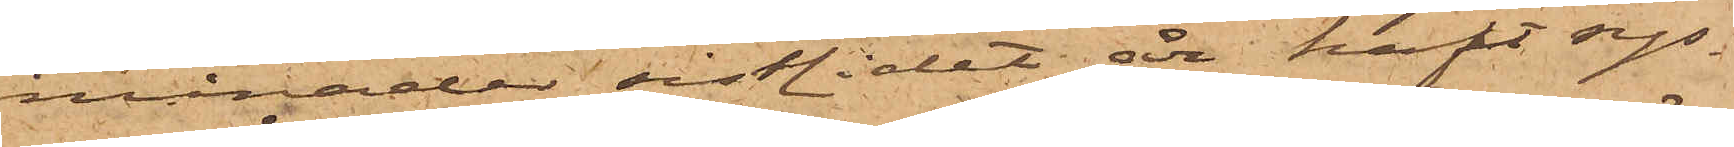månader sistlidet år haft sys¬
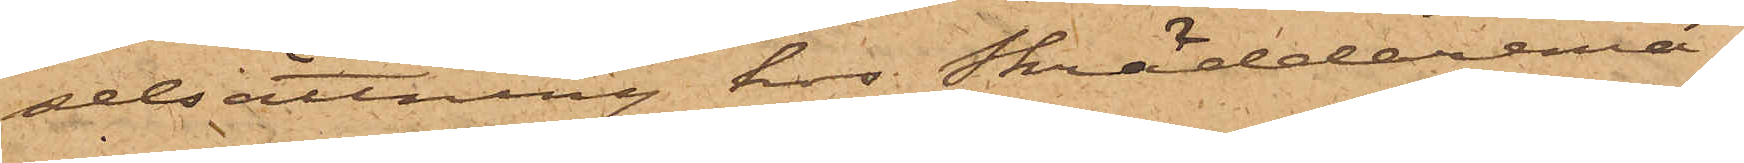selsättning hos Skräddaremä¬
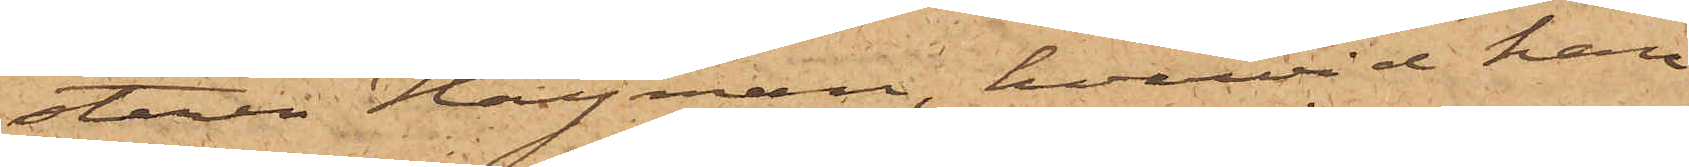staren Hayman, hvarvid han
